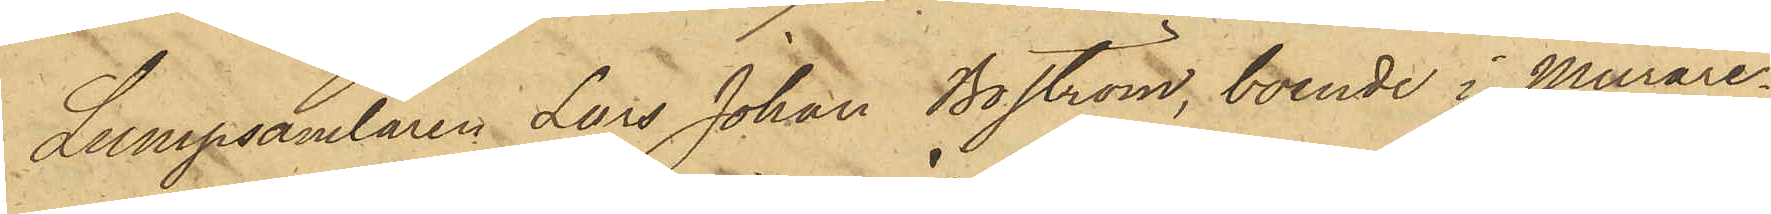Lumpsamlaren Lars Johan Boström, boende i Murare¬
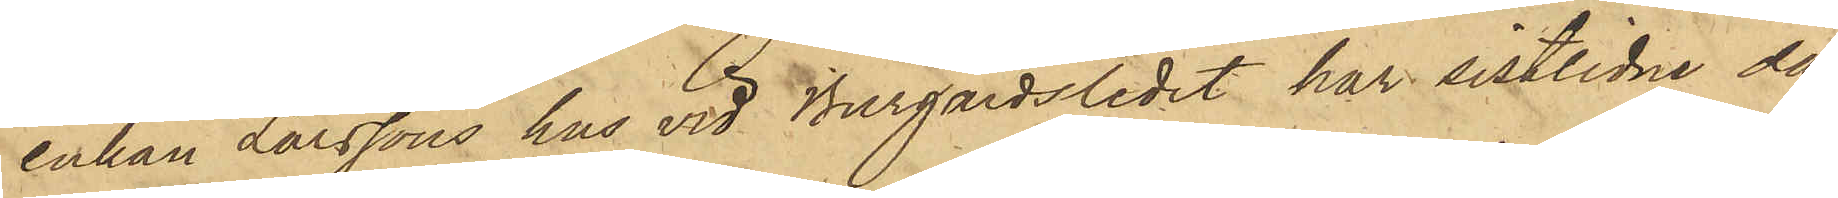enkan Larssons hus vid Burgårdsledet har sistlidne dag
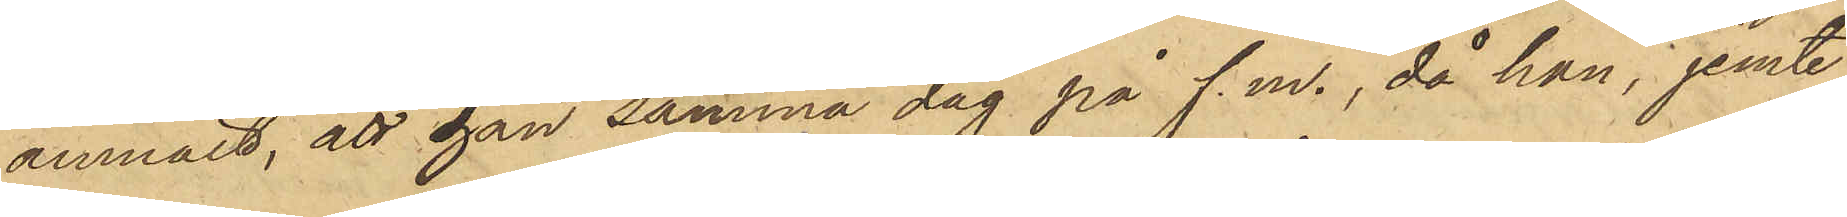anmält, att han samma dag på f.m., då han, jemte
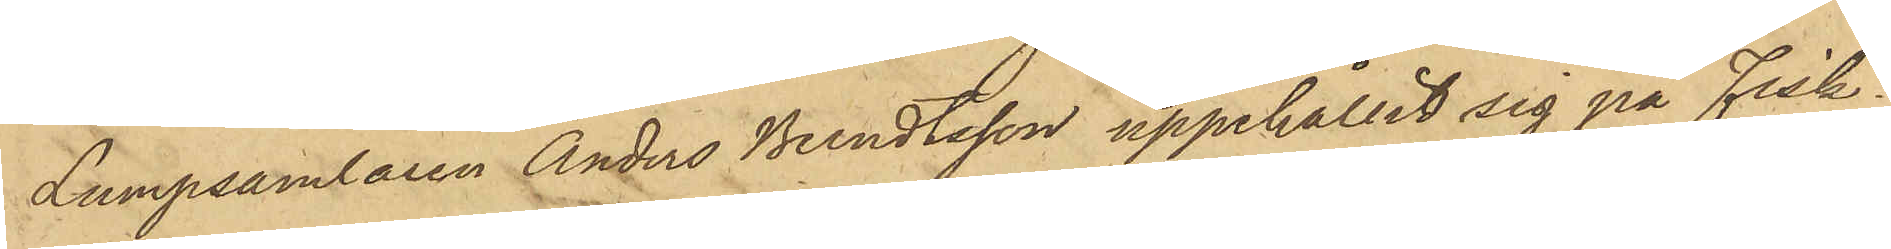Lumpsamlaren Anders Berndtsson uppehållit sig på Fisk¬
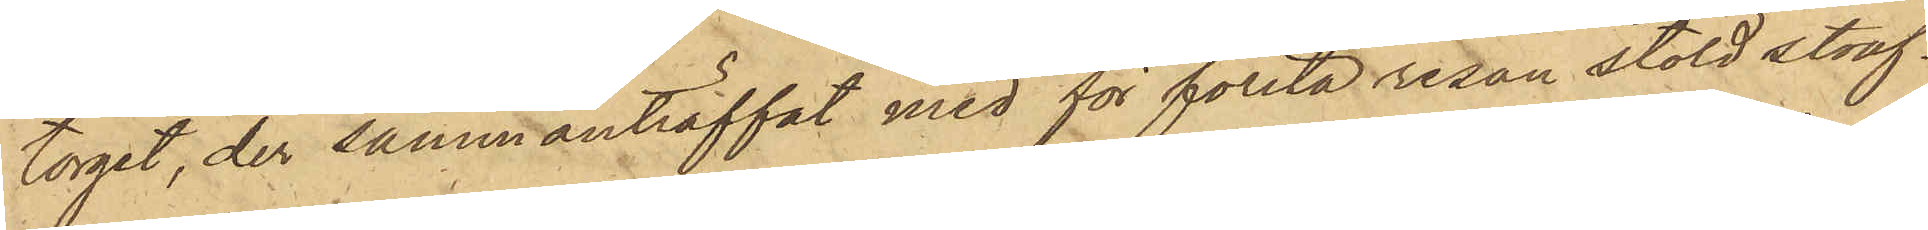torget, der sammanträffat med för första resan stöld straf¬
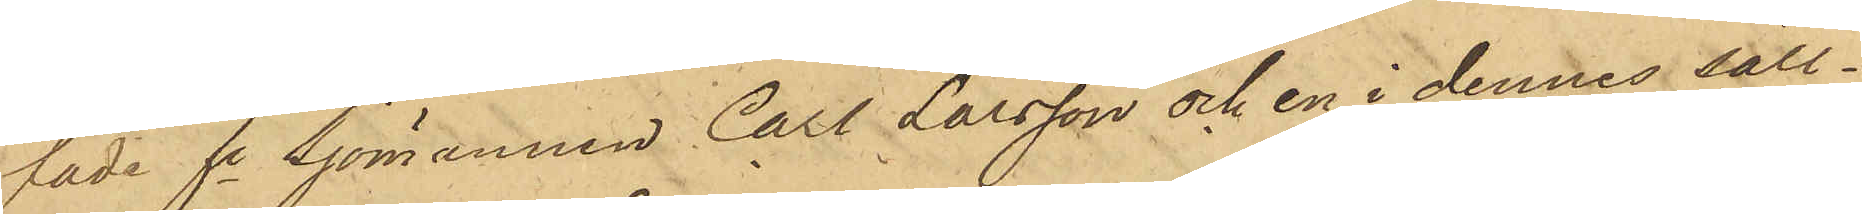fade fe Sjömannen Carl Larsson och en i dennes säll¬
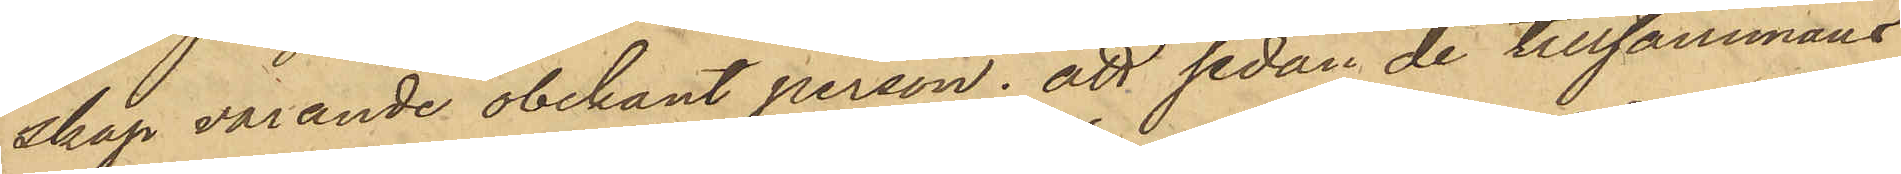skap varande obekant person; att sedan de tillsammans
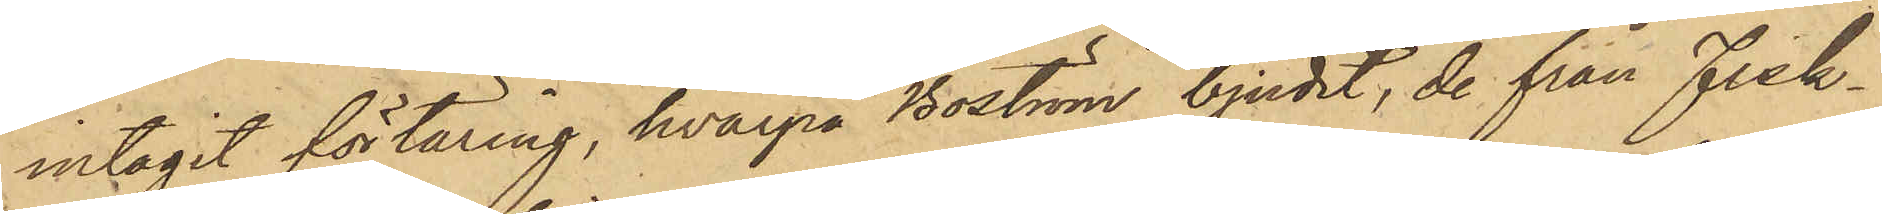intagit förtäring, hvarpå Boström bjudit, de från Fisk¬
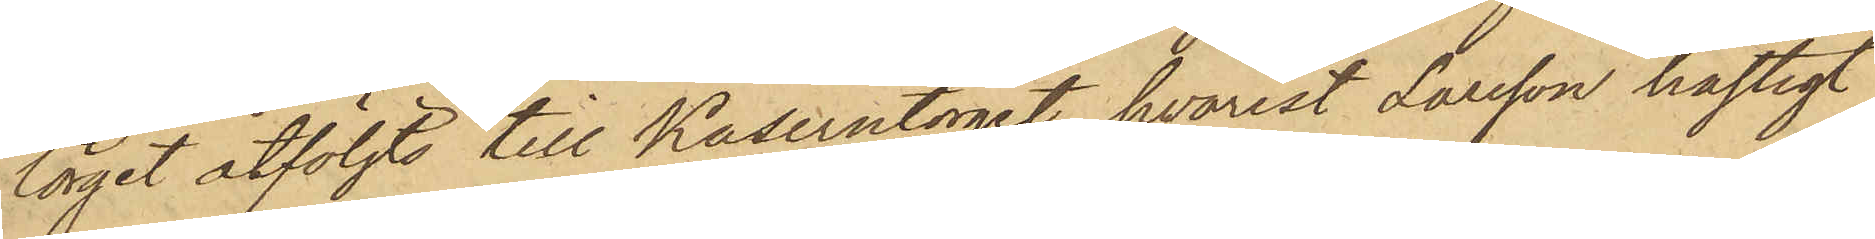torget åtföljts till Kaserntorget, hvarest Larsson hastigt
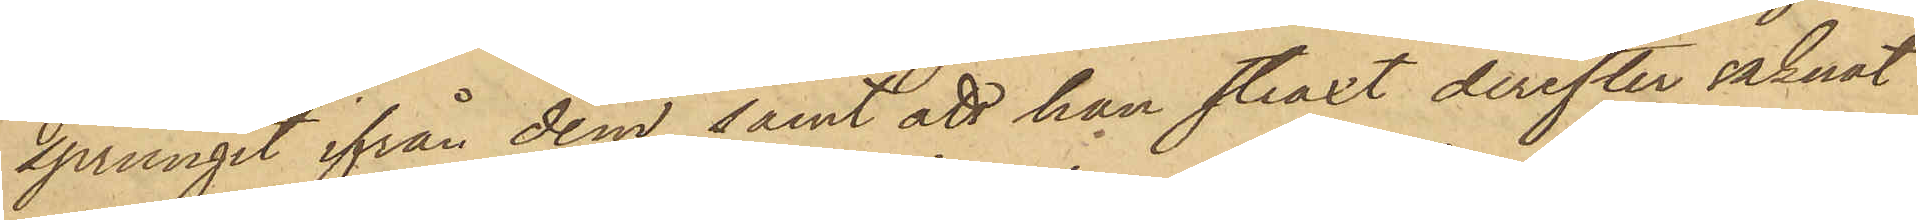sprungit ifrån dem, samt att han straxt derefter saknat
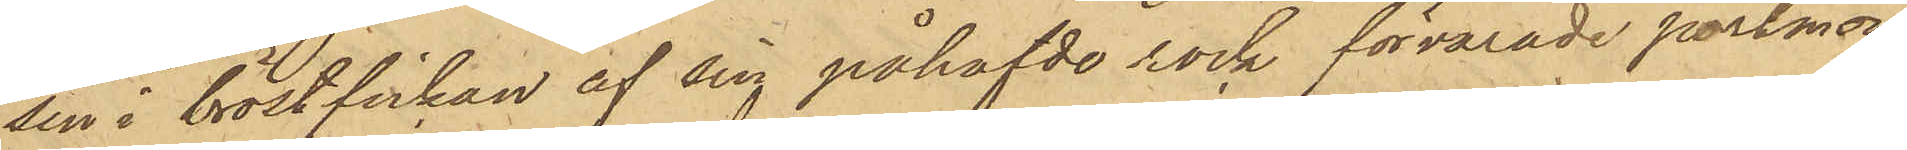sin i bröstfickan af sin påhafvde rock förvarade portmon¬
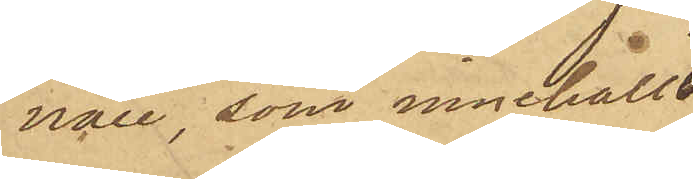naie, som innehållit
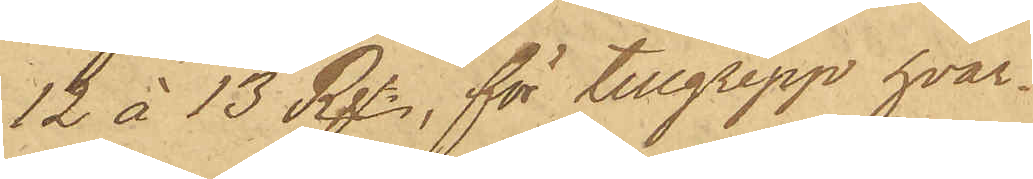12 à 13 Rgr, för tillgrepp hvar¬
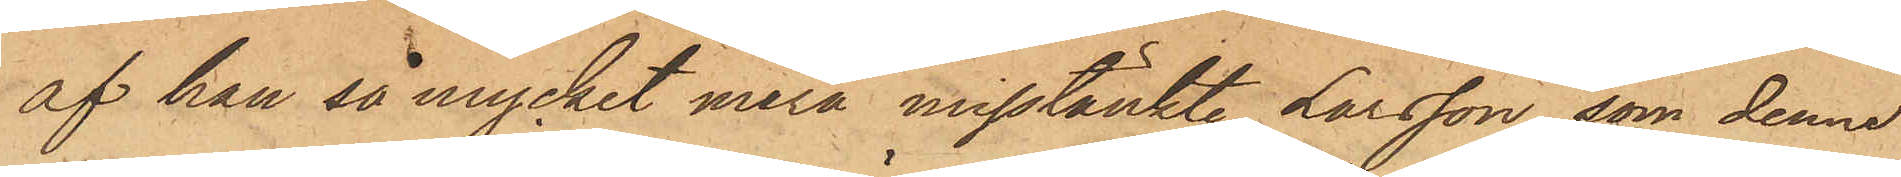af han så mycket mera misstänkte Larsson, som denne
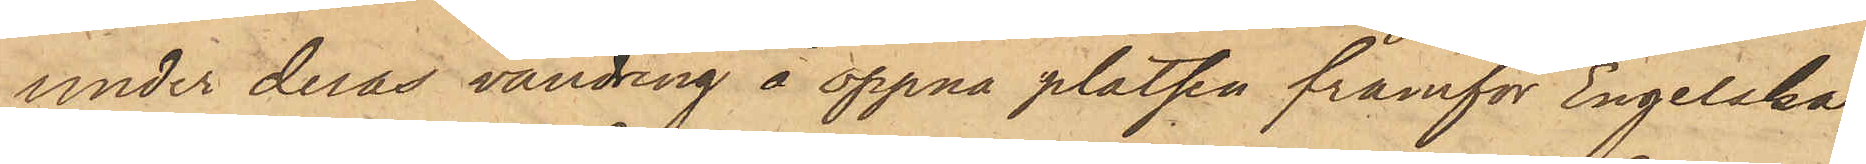under deras vandring å öppna platsen framför Engelska
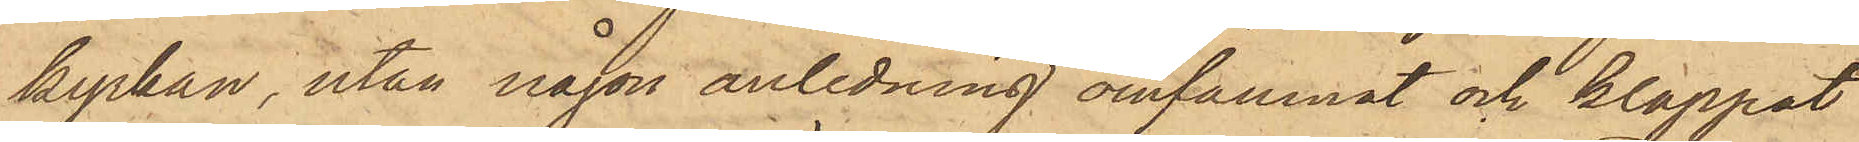kyrkan, utan någon anledning omfamnat och klappat
